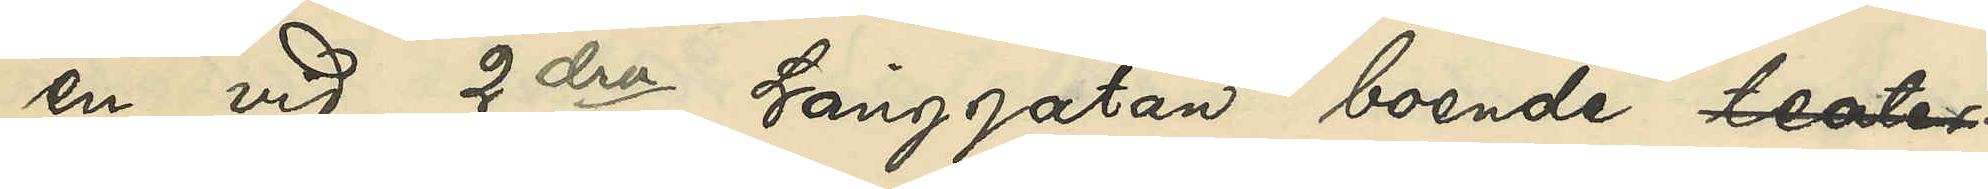en vid 2dra Långgatan boende teater
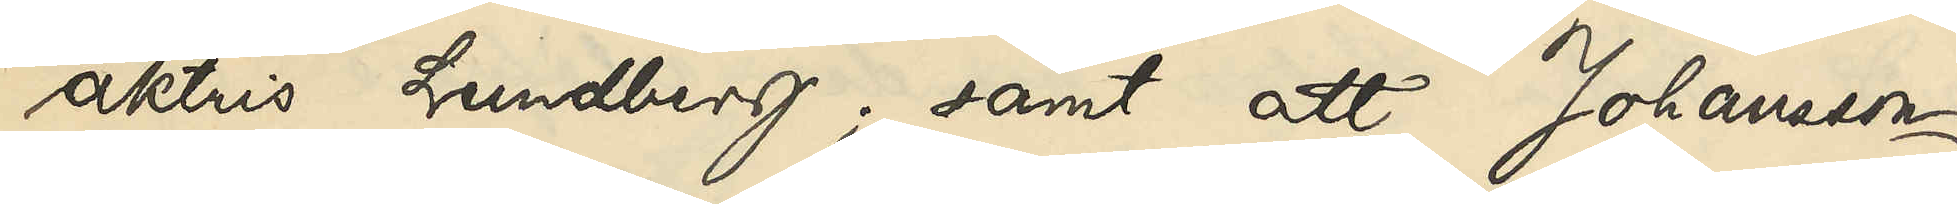aktris Lundberg; samt att Johansson
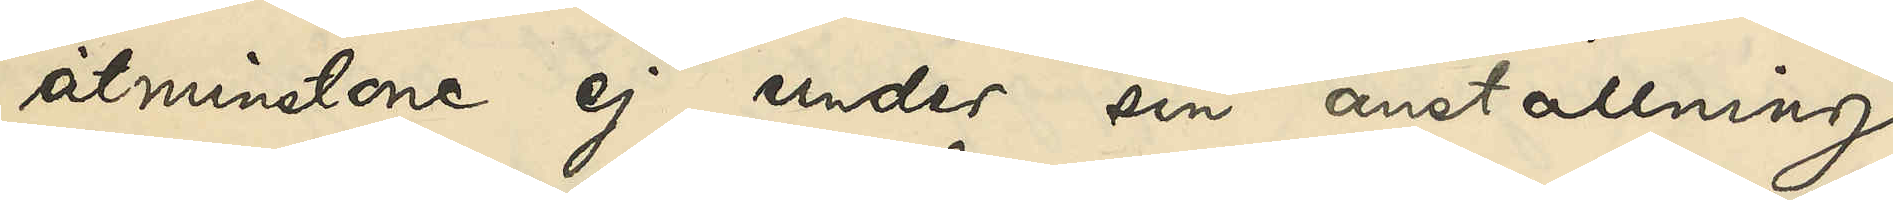åtminstone ej under sin anställning
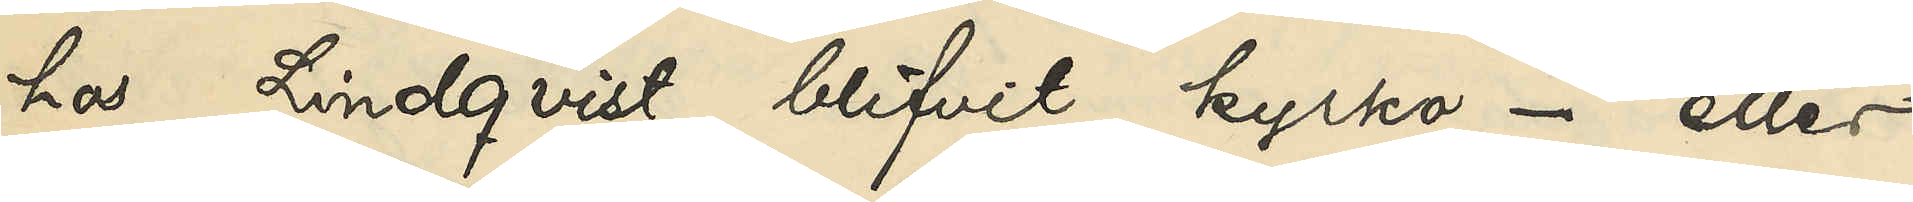hos Lindqvist blifvit kyrko- eller 
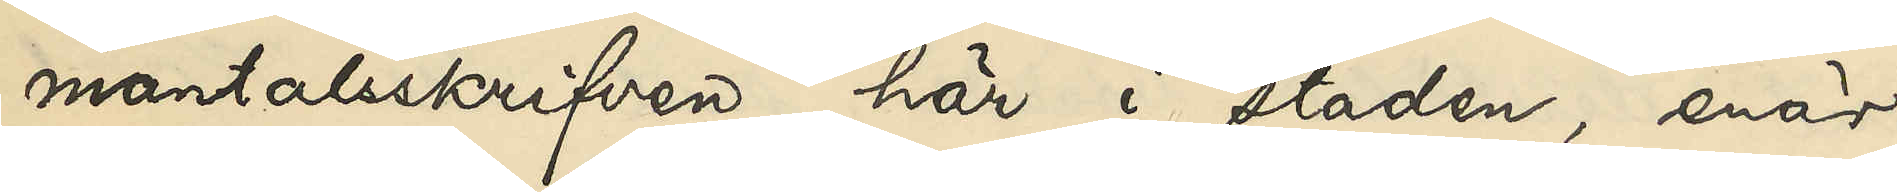mantalsskrifven här i staden, enär
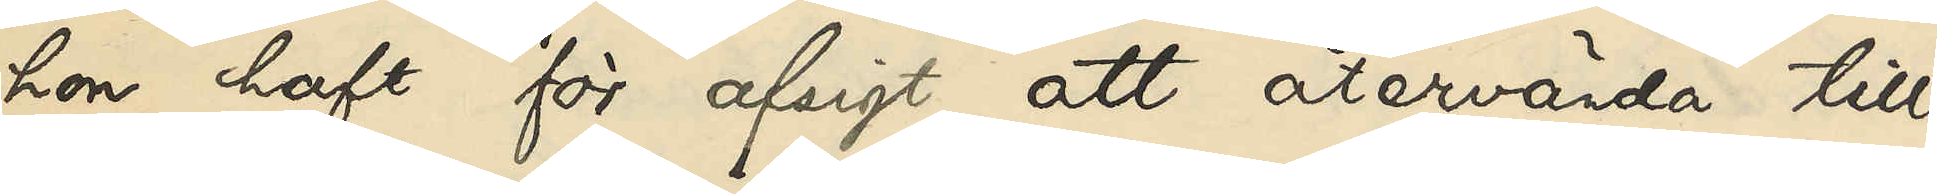hon haft för afsigt att återvända till
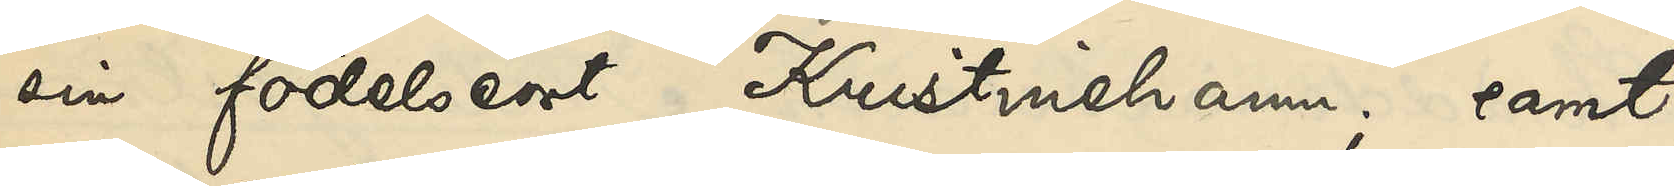sin födelseort Kristinehamn; samt
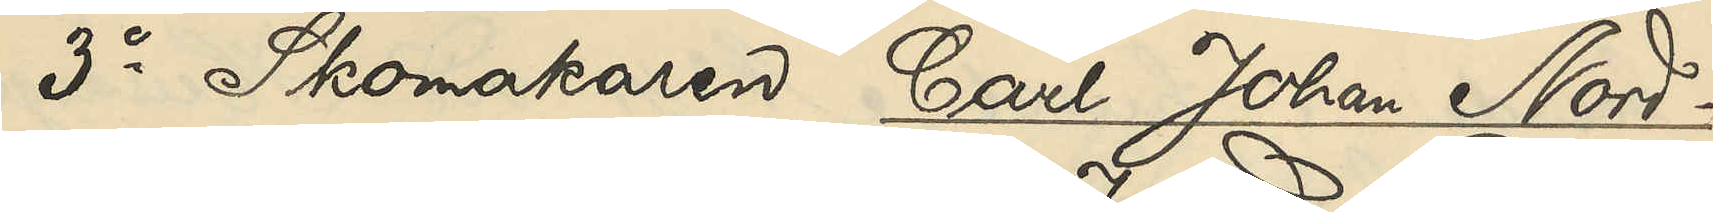3o Skomakaren Carl Johan Nord¬
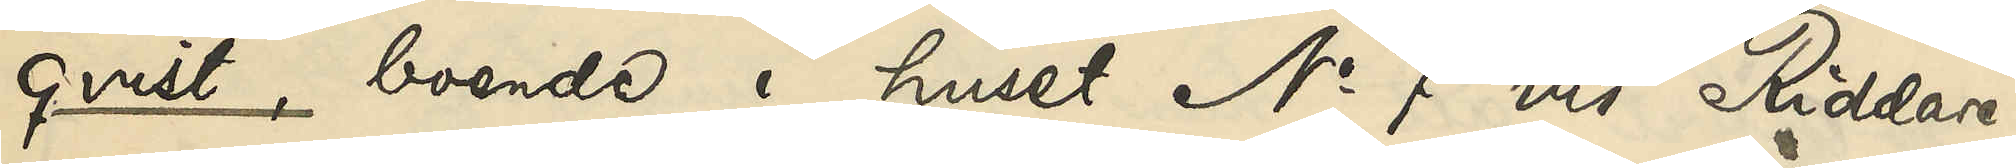qvist, boende i huset No 7 vid Riddare¬
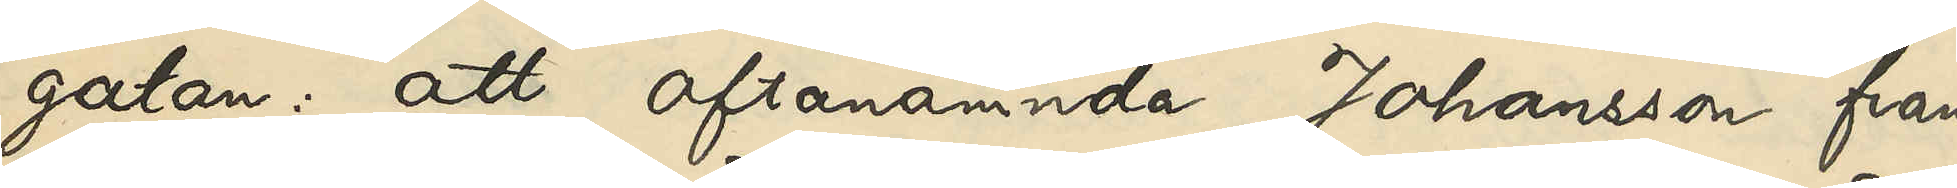gatan: att ofvannämnda Johansson från
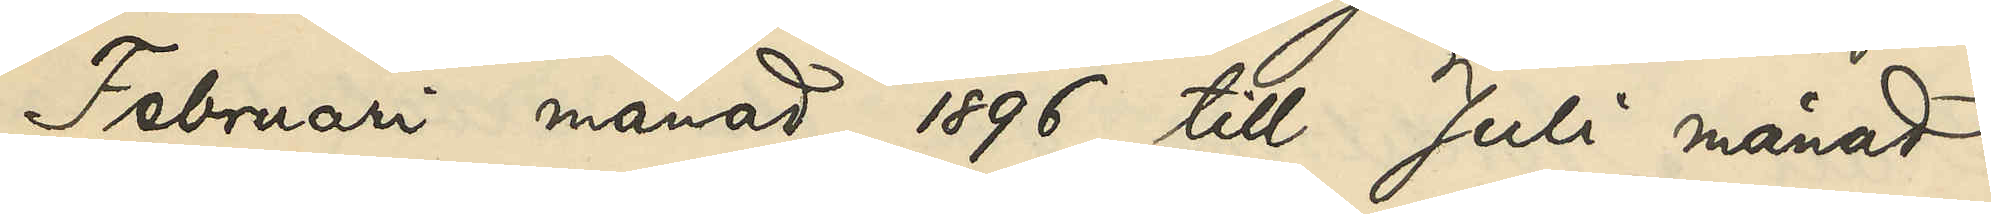Februari månad 1896 till Juli månad
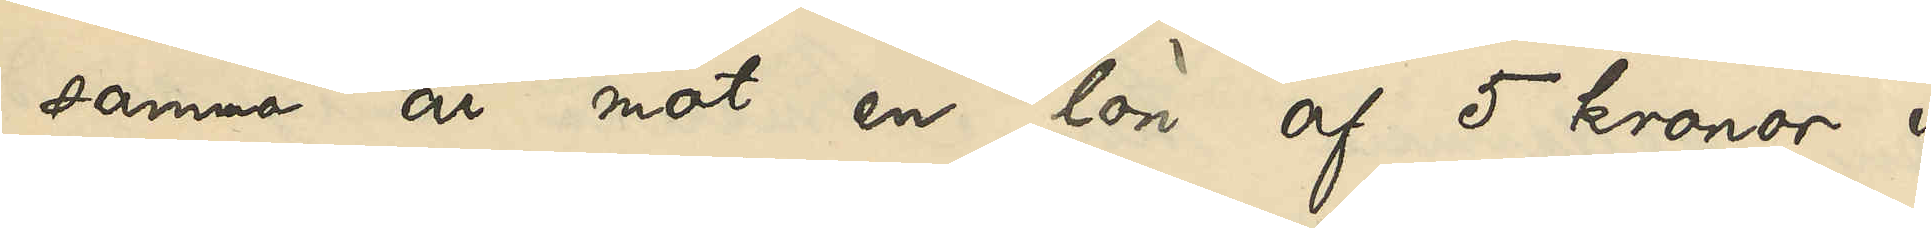samma år mot en lön af 5 kronor i
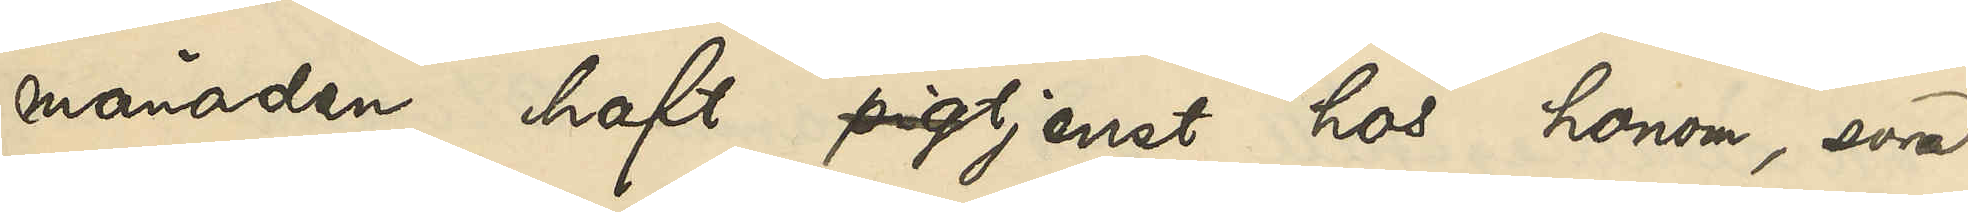månaden haft pigtjenst hos honom, som
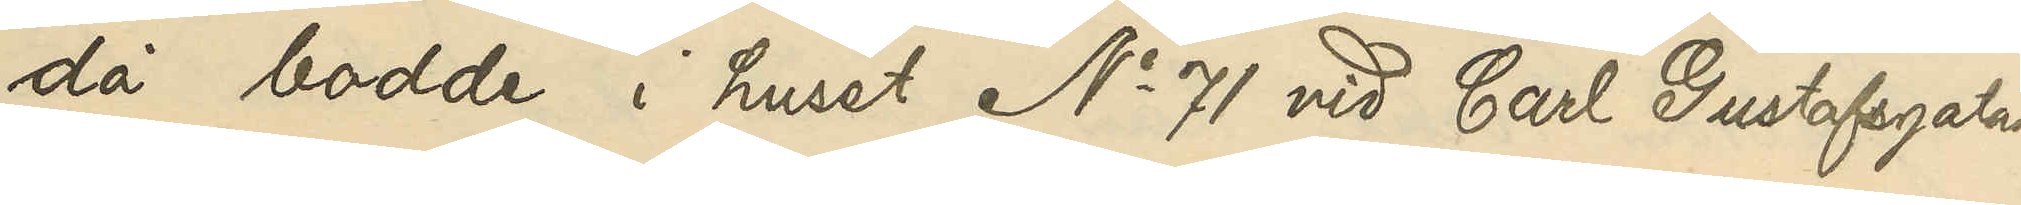då bodde i huset No 71 vid Carl Gustafsgatan
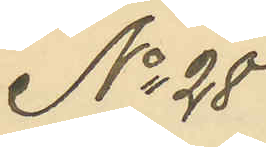No 28
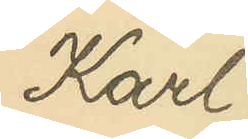Karl
